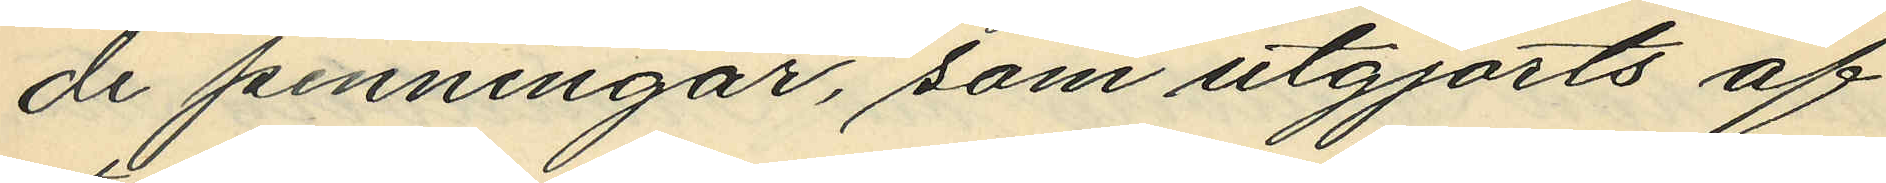de penningar, som utgjorts af
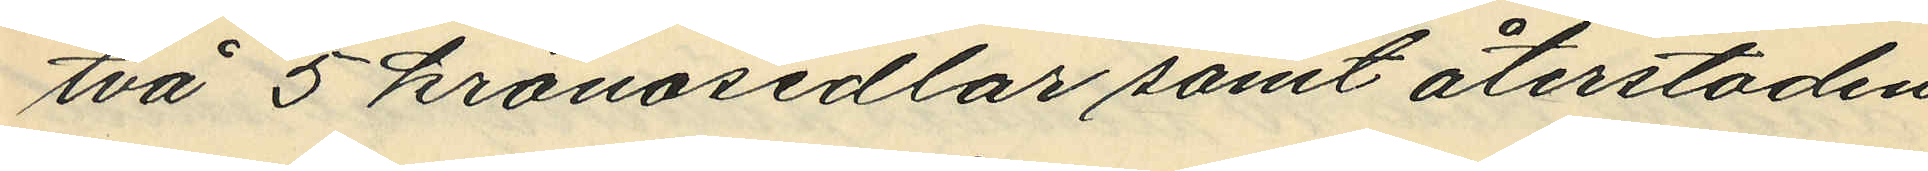två 5 kronosedlar samt återstoden
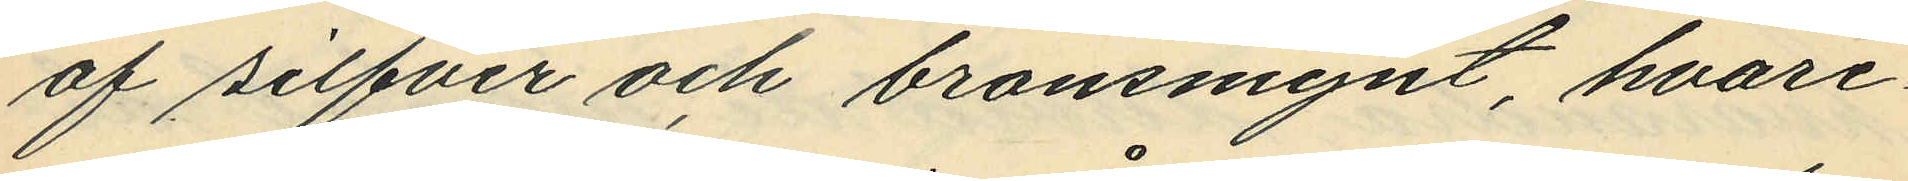af silfver och bronsmynt, hvare¬
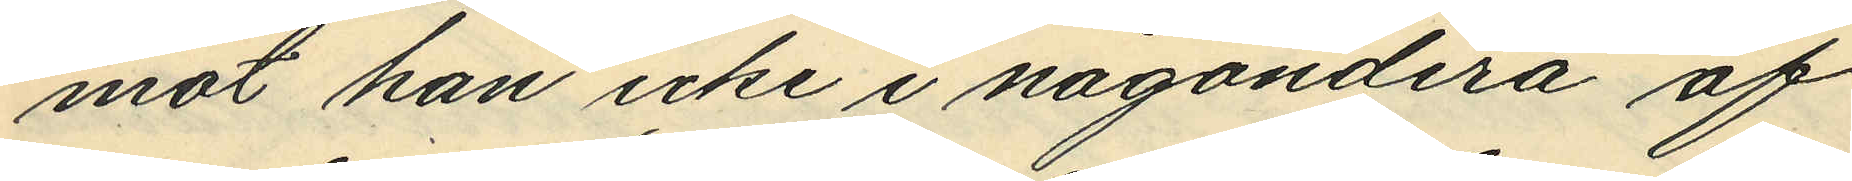mot han icke i någondera af
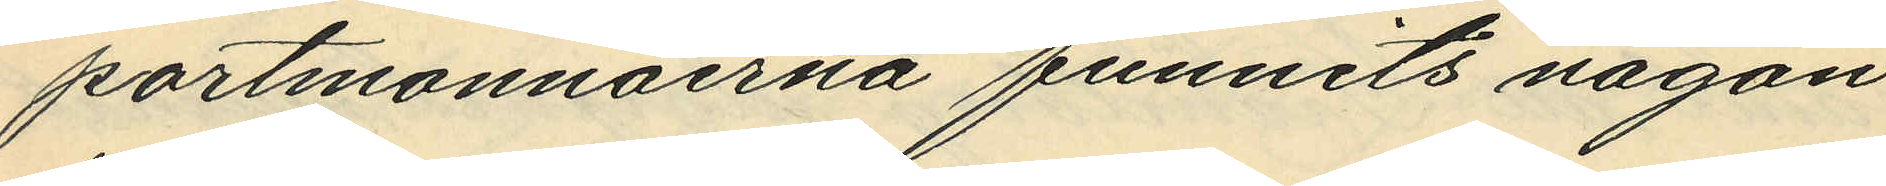portmonnäerna funnits någon
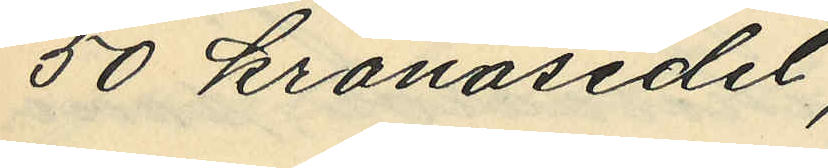50 kronosedel;
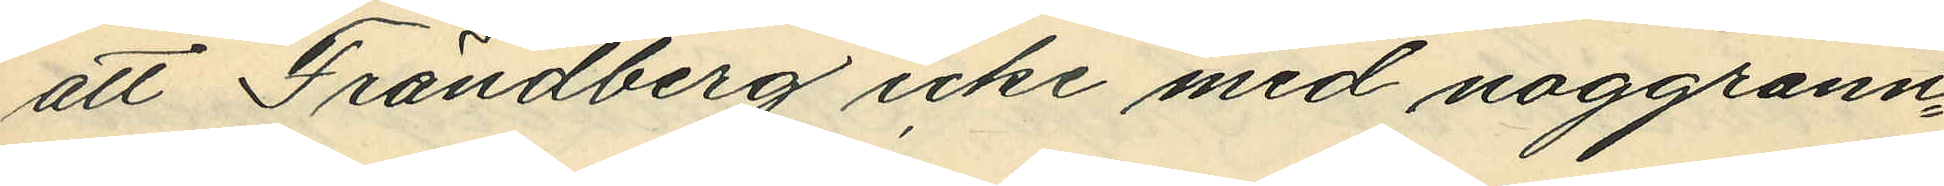att Frändberg icke med noggrann¬
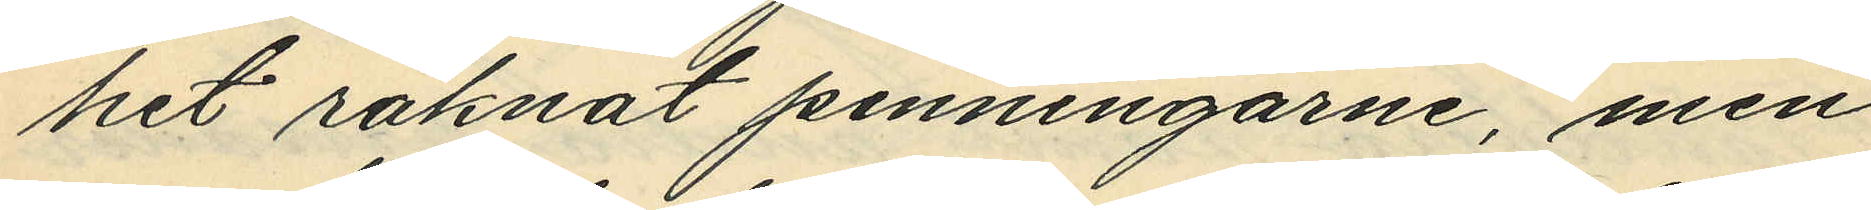het räknat penningarne, men
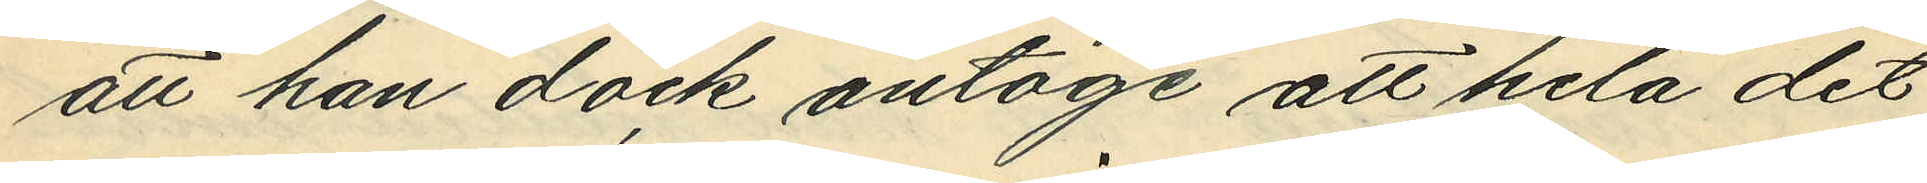att han dock antoge att hela det
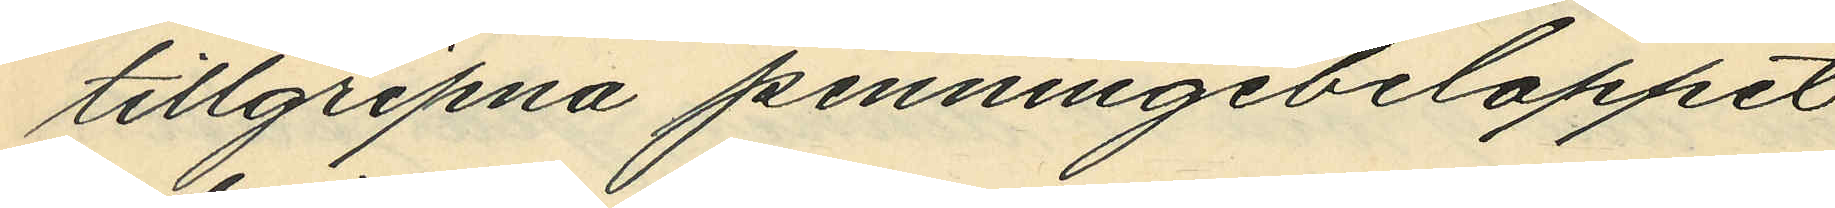tillgripna penningebeloppet
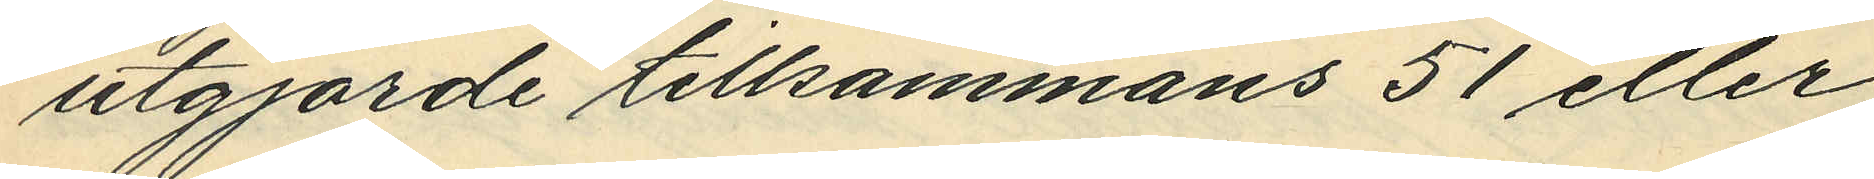utgjorde tillsammans 51 eller
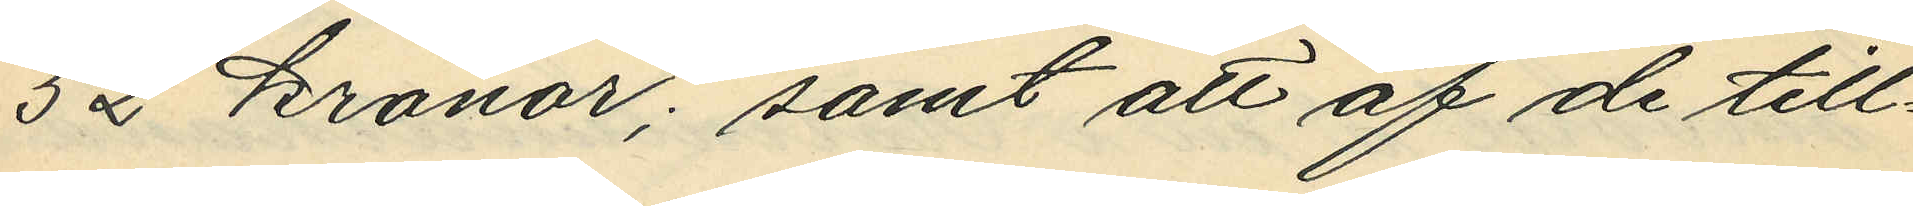52 kronor; samt att af de till¬
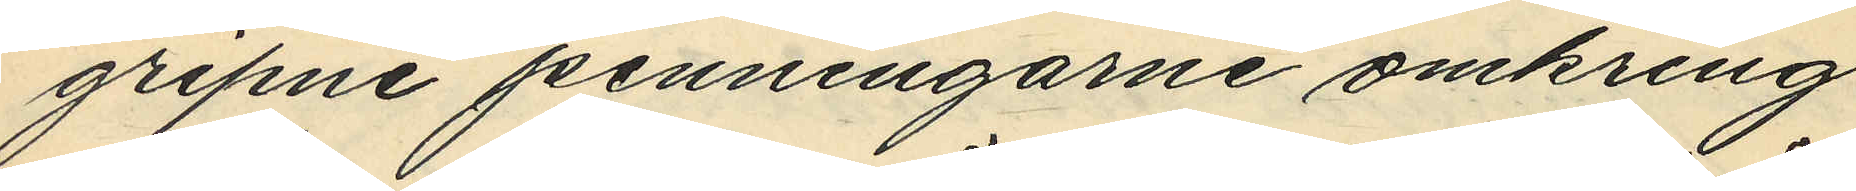gripne penningarne omkring
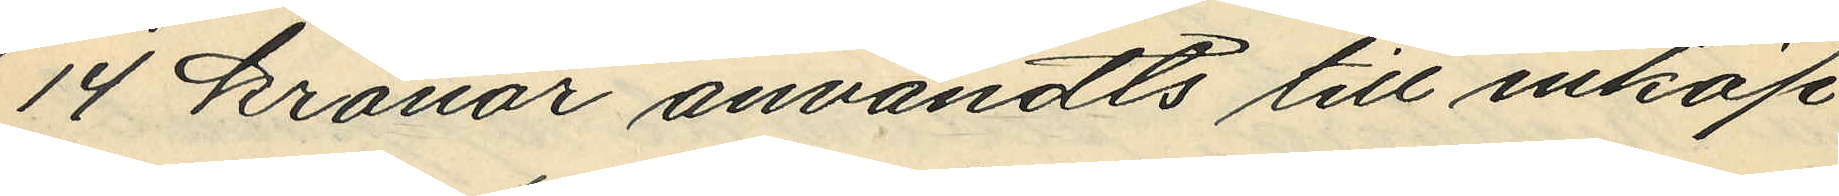14 kronar användts till inköp
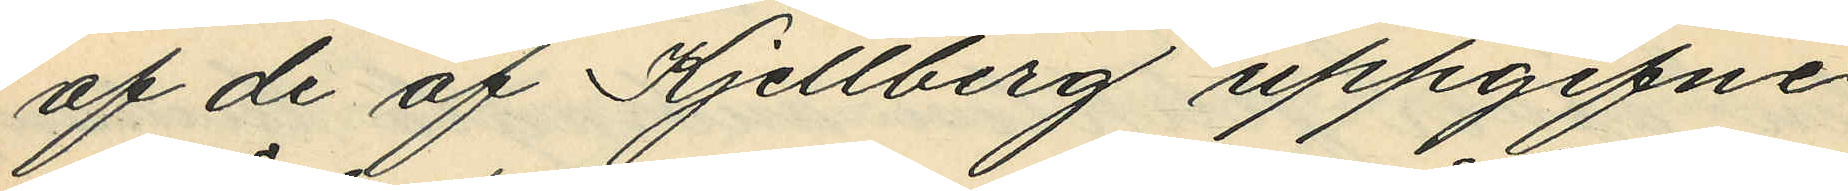af de af Kjellberg uppgifne
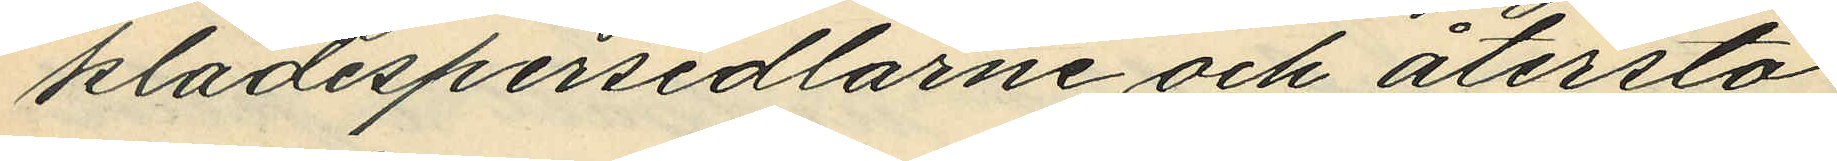klädespersedlarne och återsto¬
